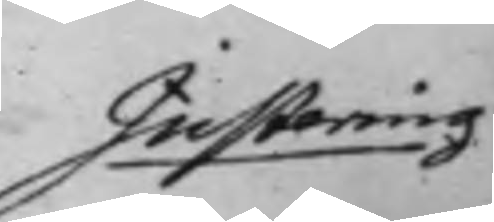Justering 
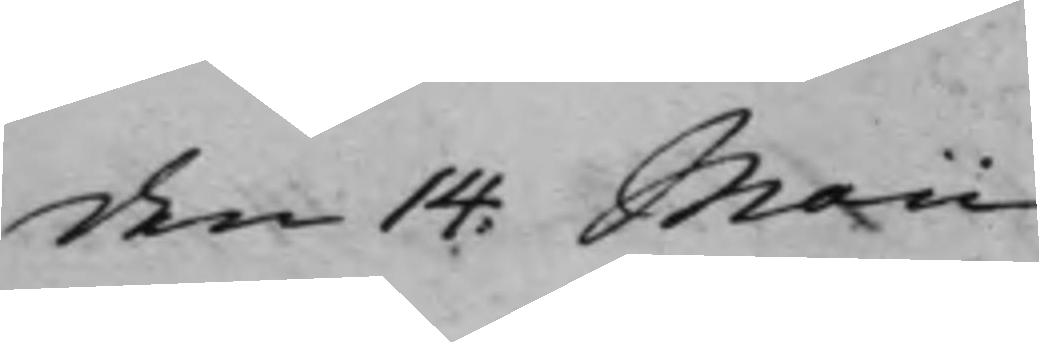den 14. Maii
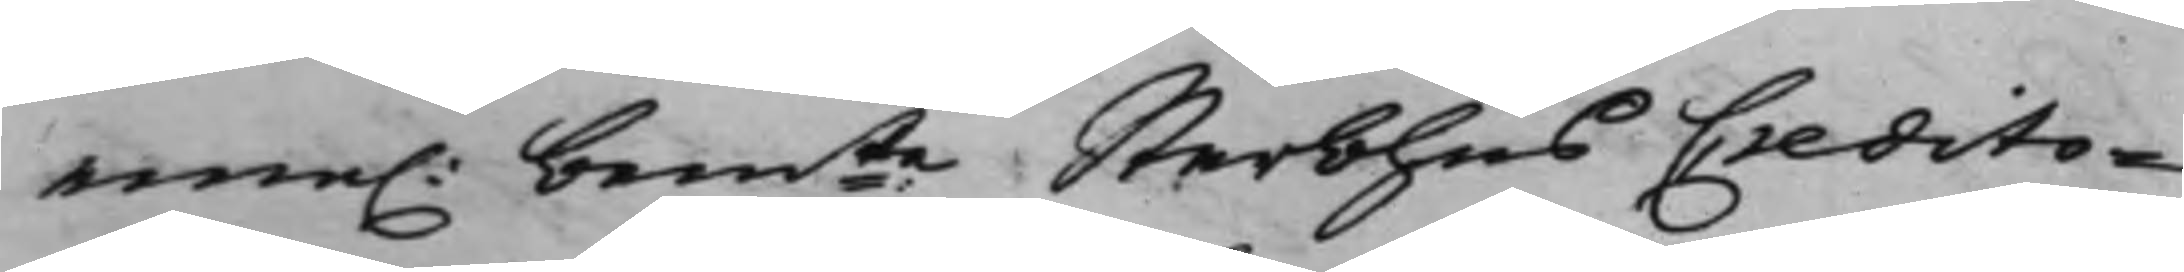eme. bemte Sterbhus Credito¬ 
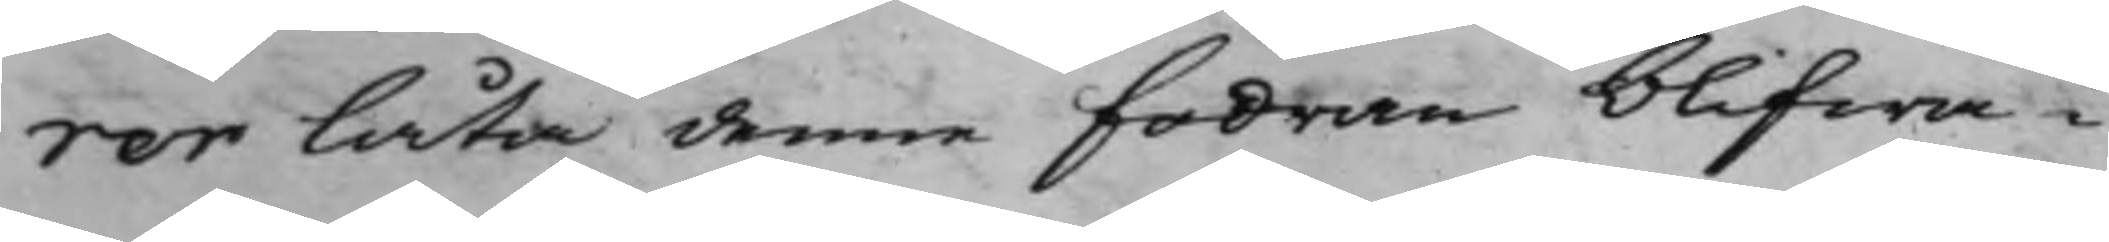rer låta denne fodran blifwa i
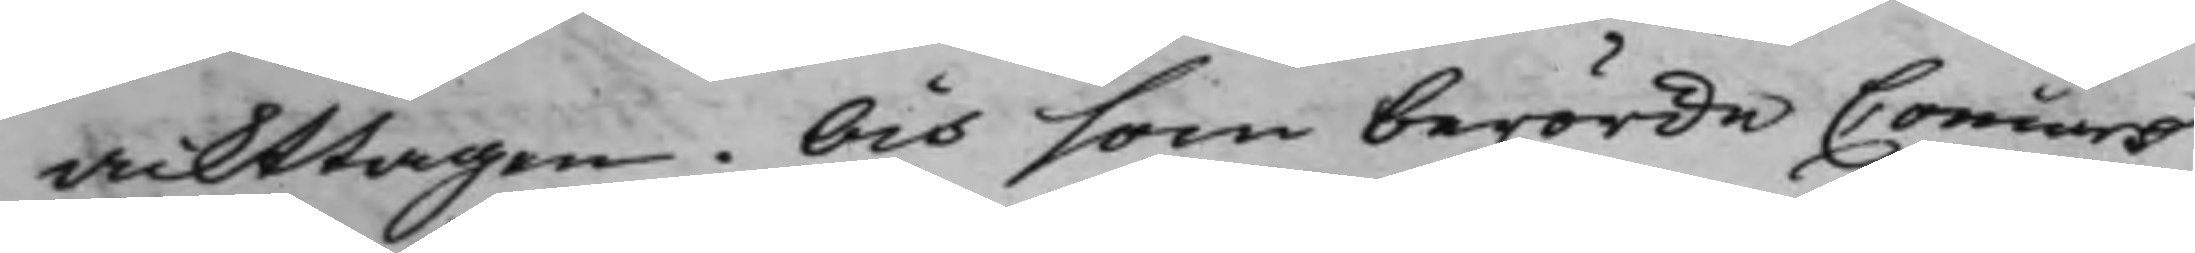ackttagen. Och som berörde Concurs
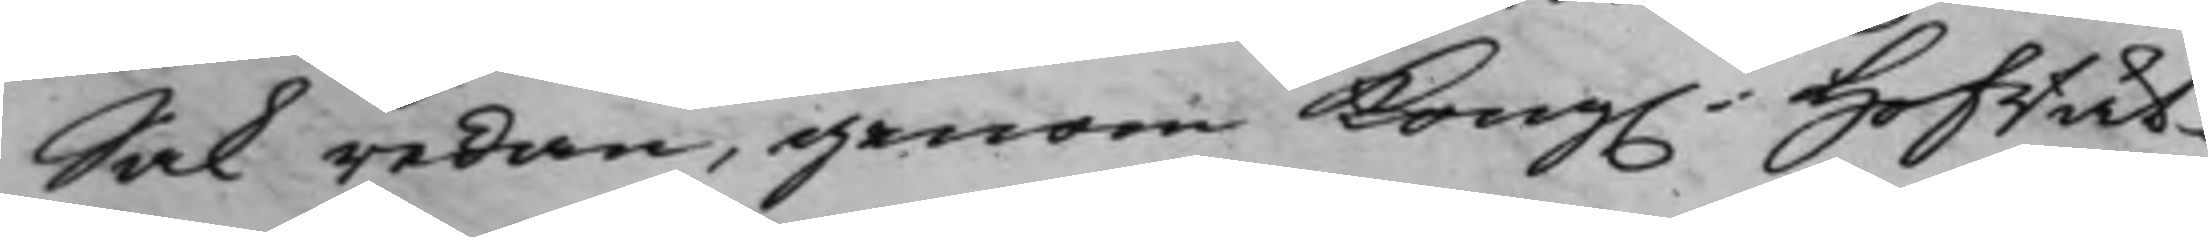Sak redan, genom Kong. Hofrät¬ 
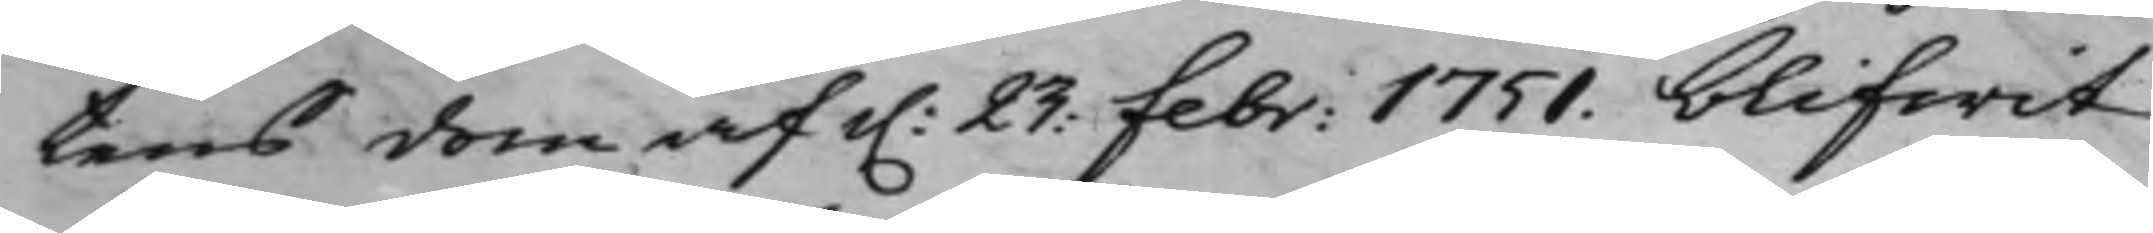tens dom af d. 23: febr: 1751. blifwit 
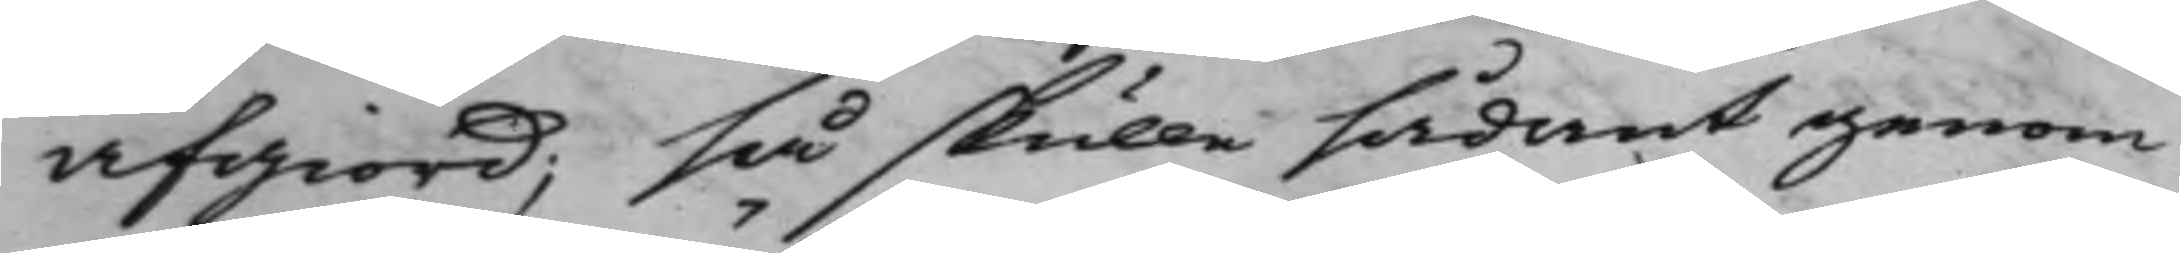afgiord; så skulle sådant genom
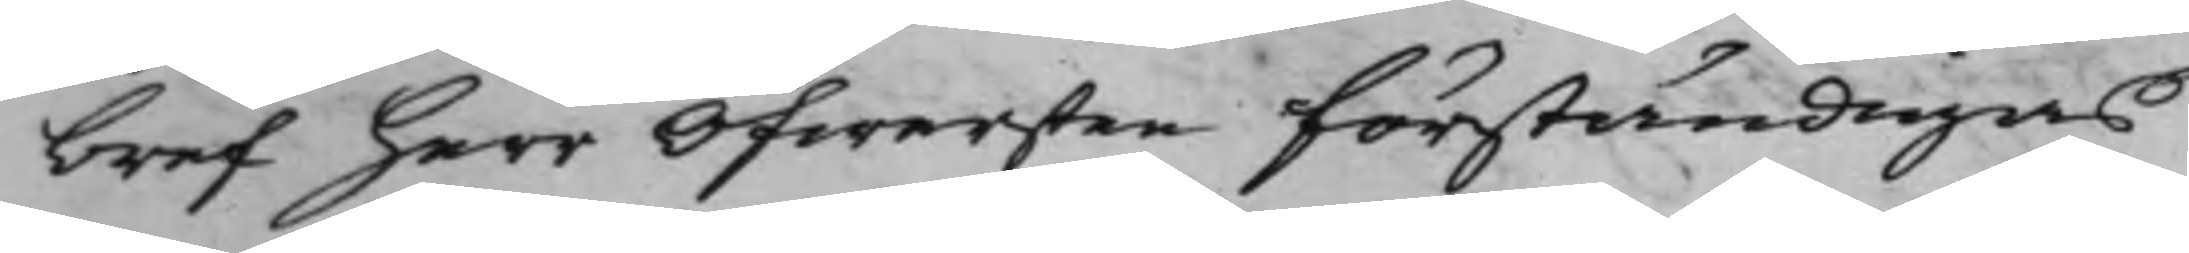bref herr Öfwersten förständigas
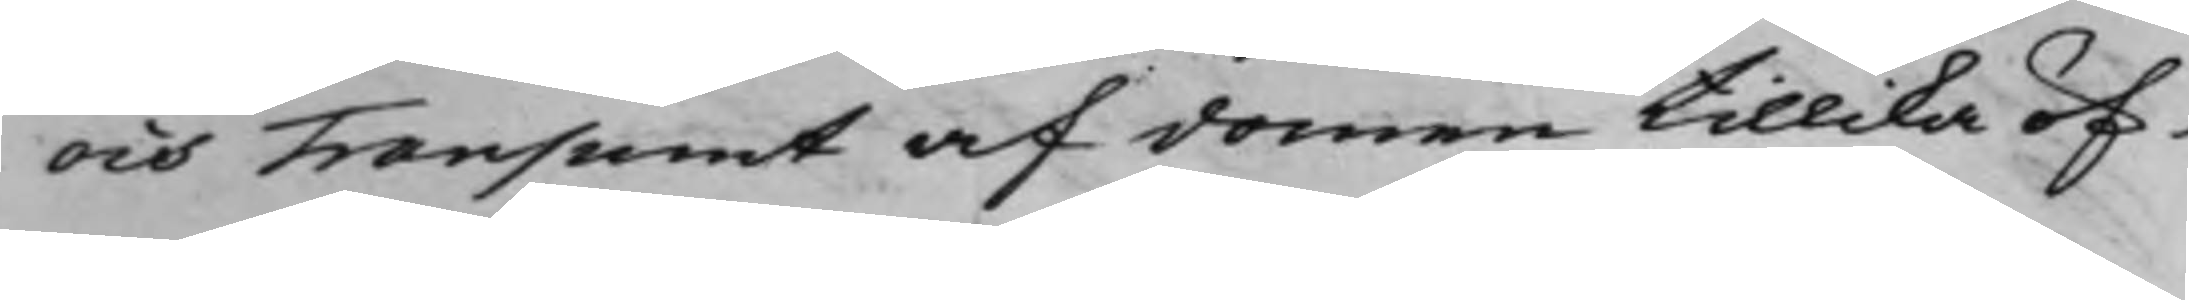och Transumt af domen tillika öf¬
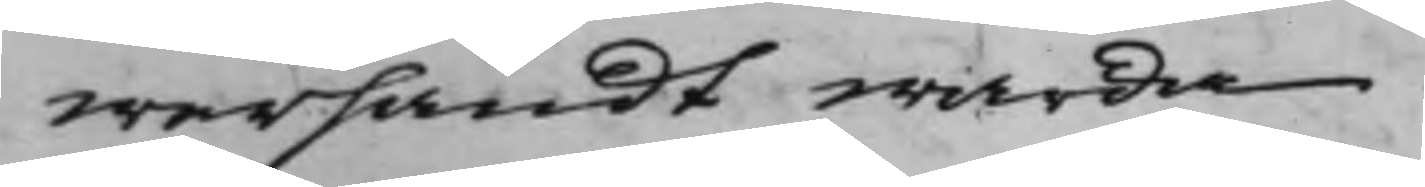wersändt warda.
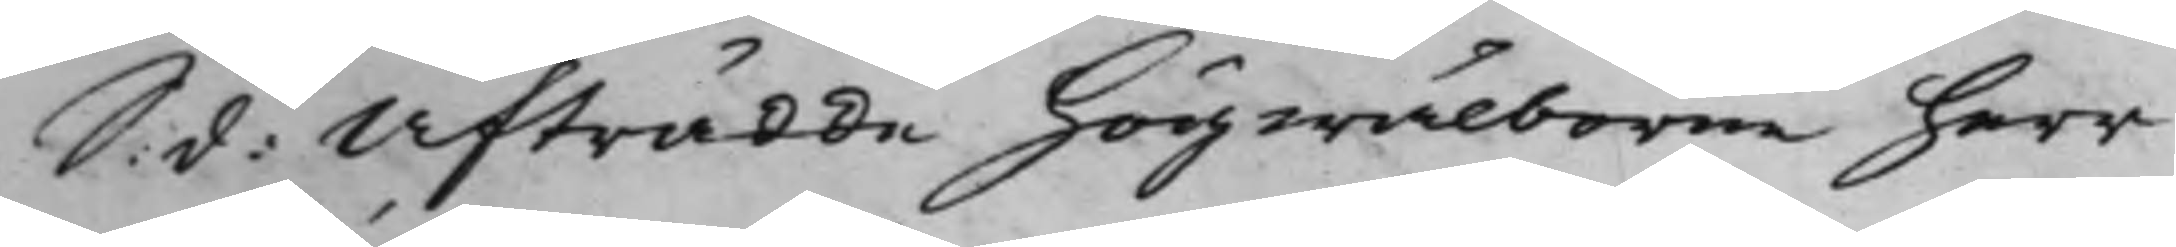S. d. Afträdde högwälborne herr 
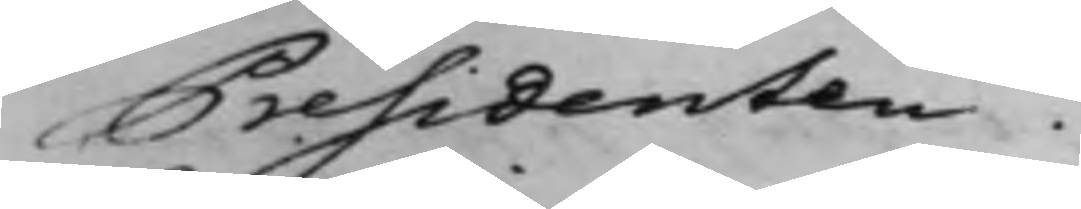Présidenten
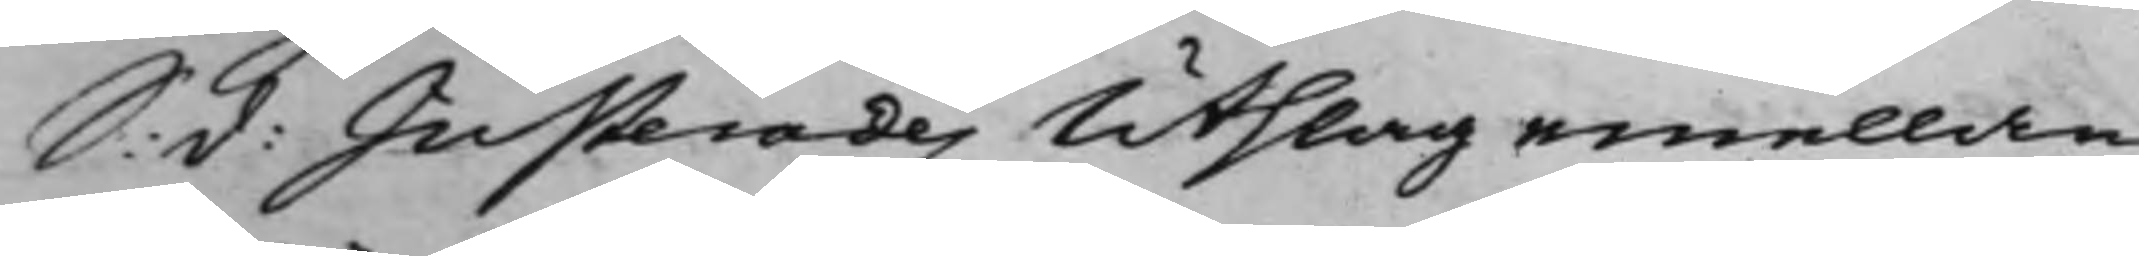S: d: Justerades Utslag emellan 
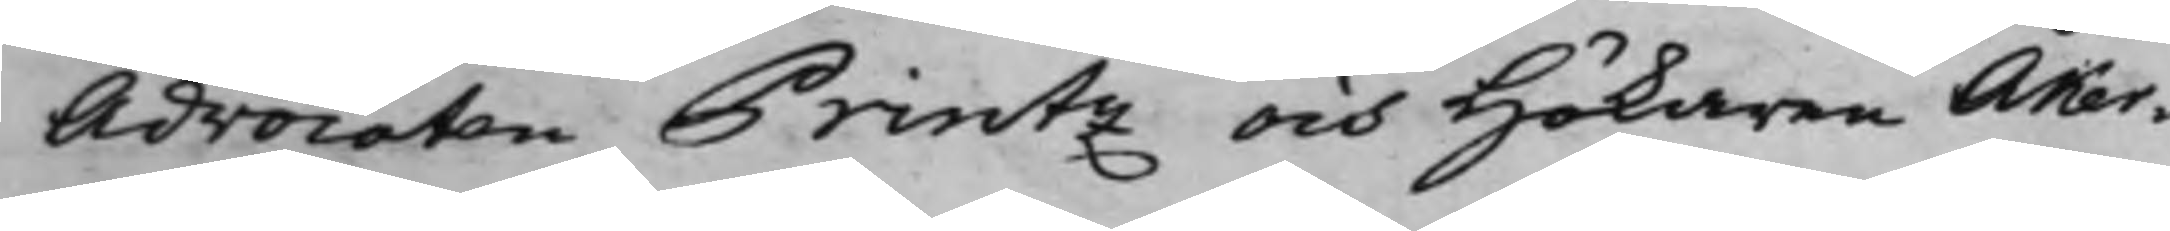Advocaten Printz och Hökaren Åker¬
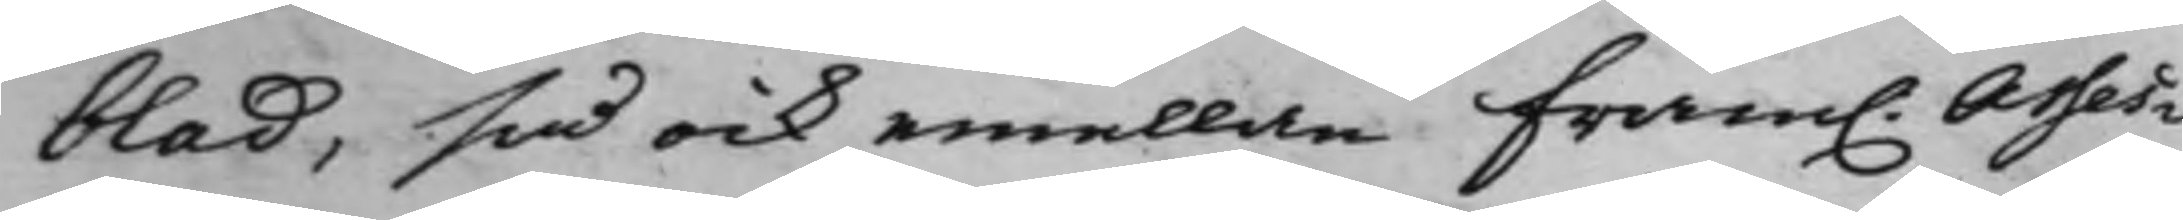blad, så ock emellan fram. Asses¬ 
